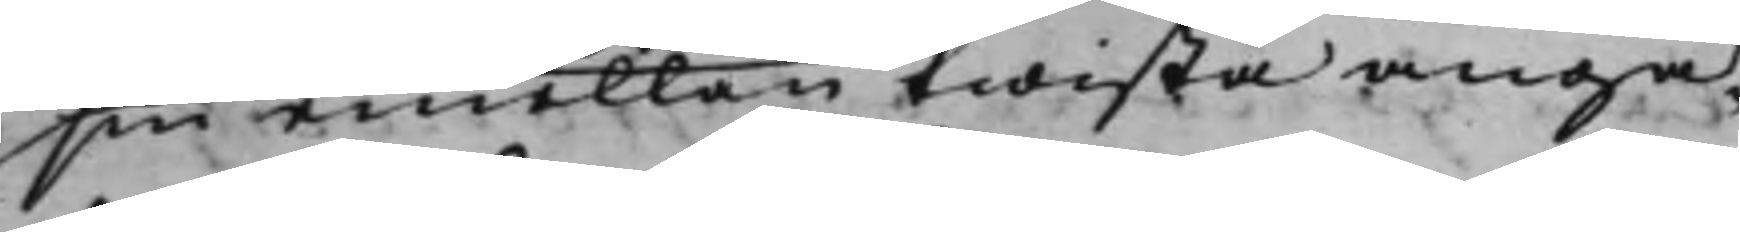sin emellan twista angå¬
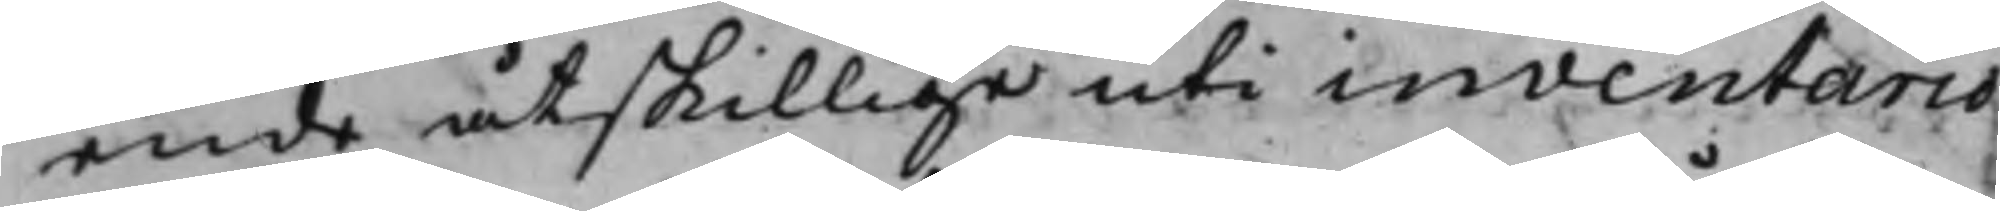ende åtskillige uti inventario
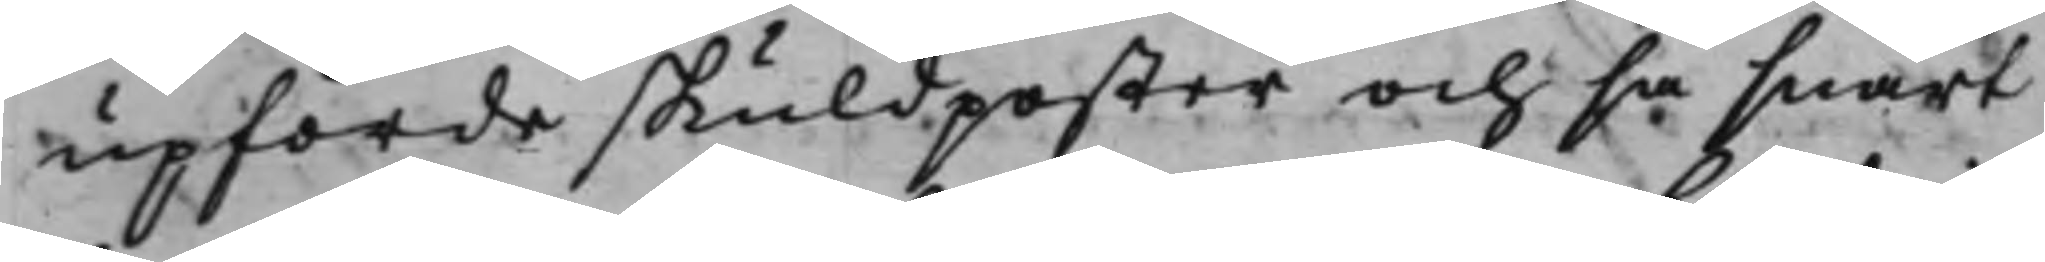upförde skuldposter och så snart
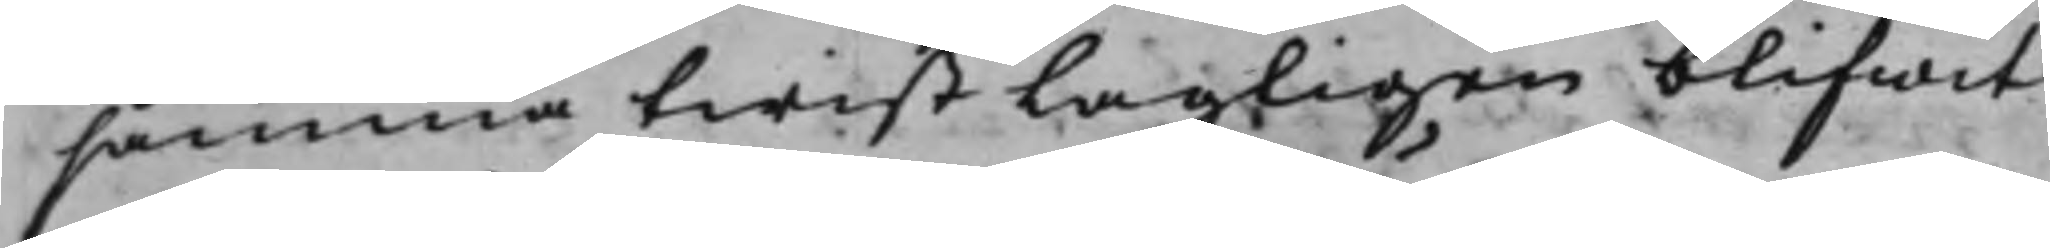samma twist Lagligen blifwit
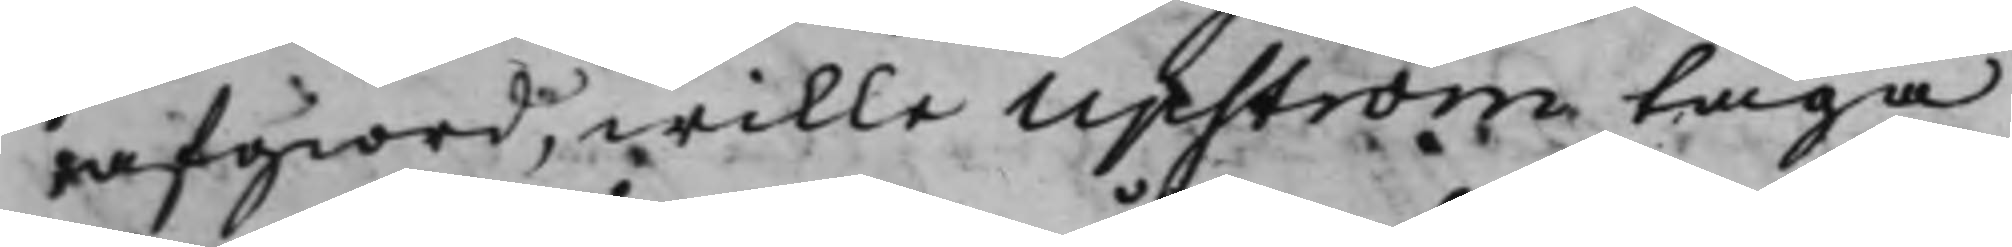afgiord, wille Upström taga
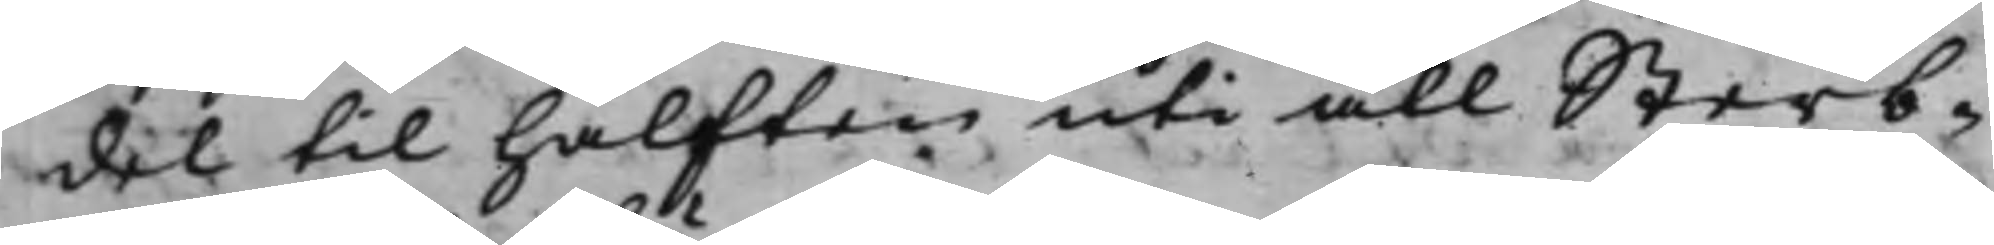del til hälften uti all Sterb¬
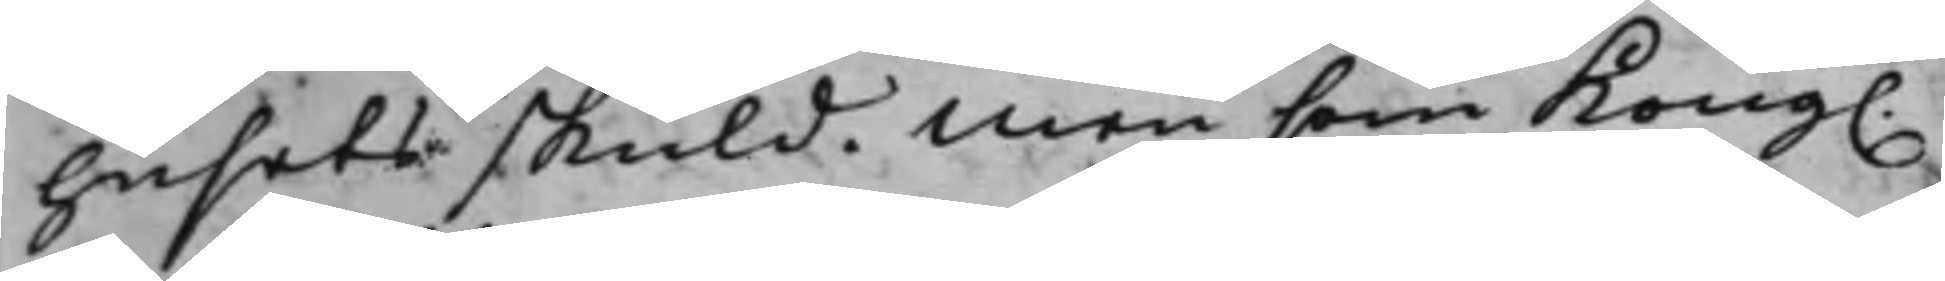husets skuld. Men som Kong.
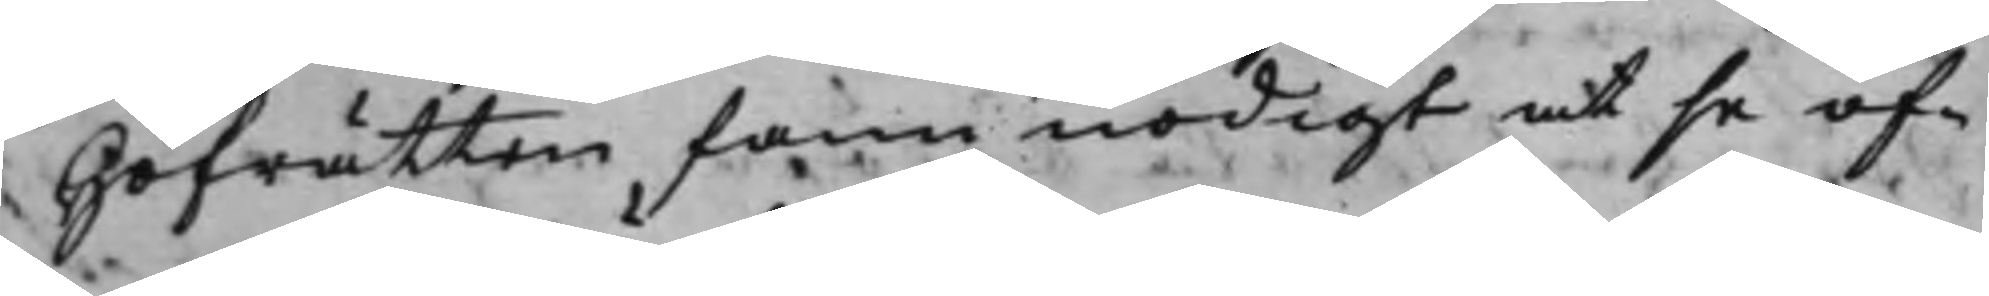Hofrätten fann nödigt at se of¬
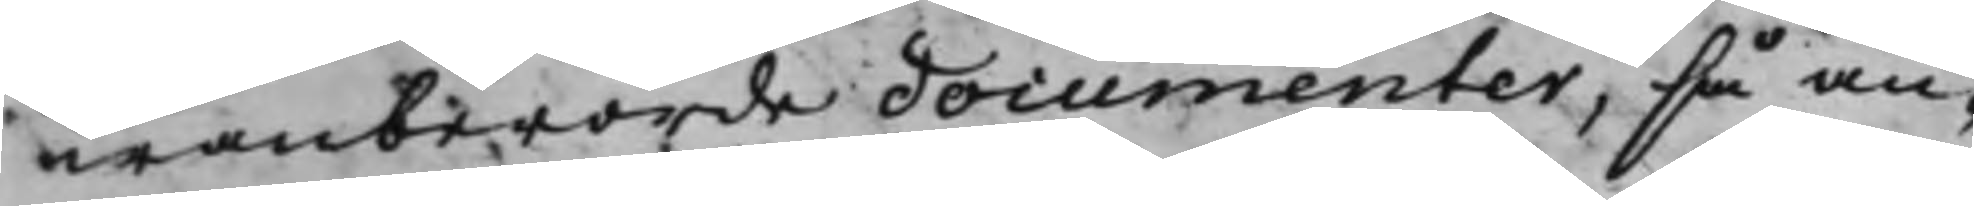wanberörde documenter, så an¬
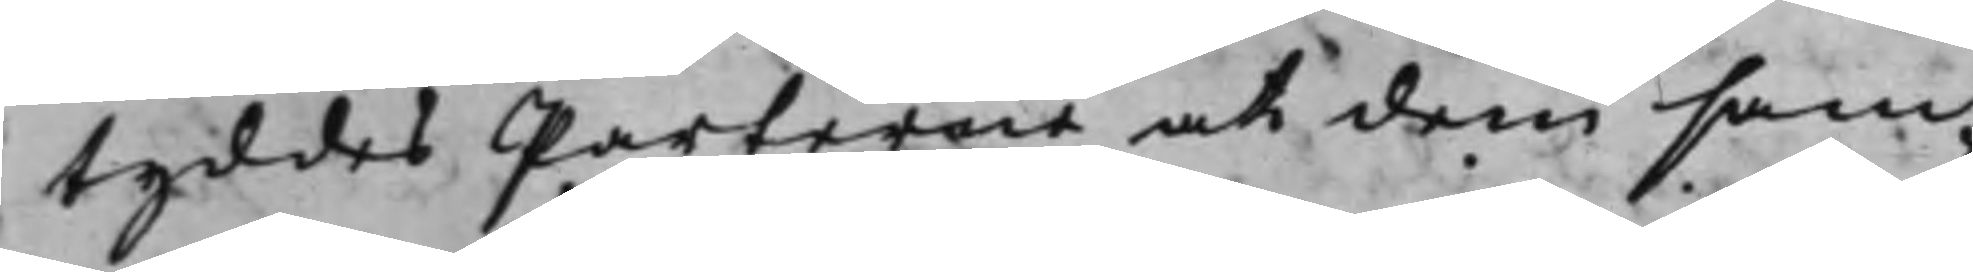tyddes Parterne at dem sam¬
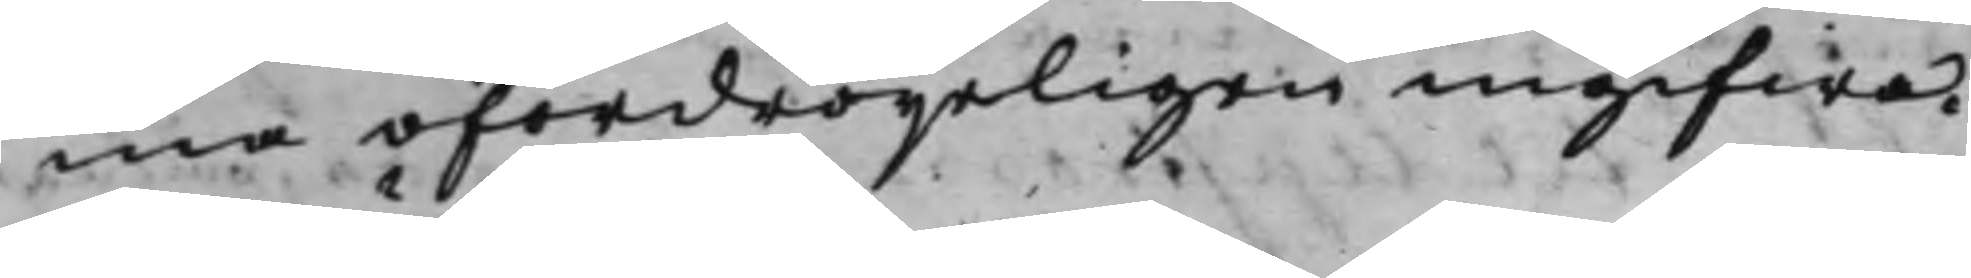ma ofördröijeligen ingifwa.
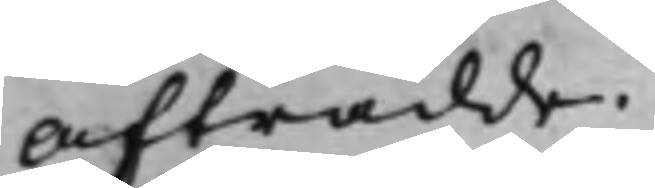Afträdde.
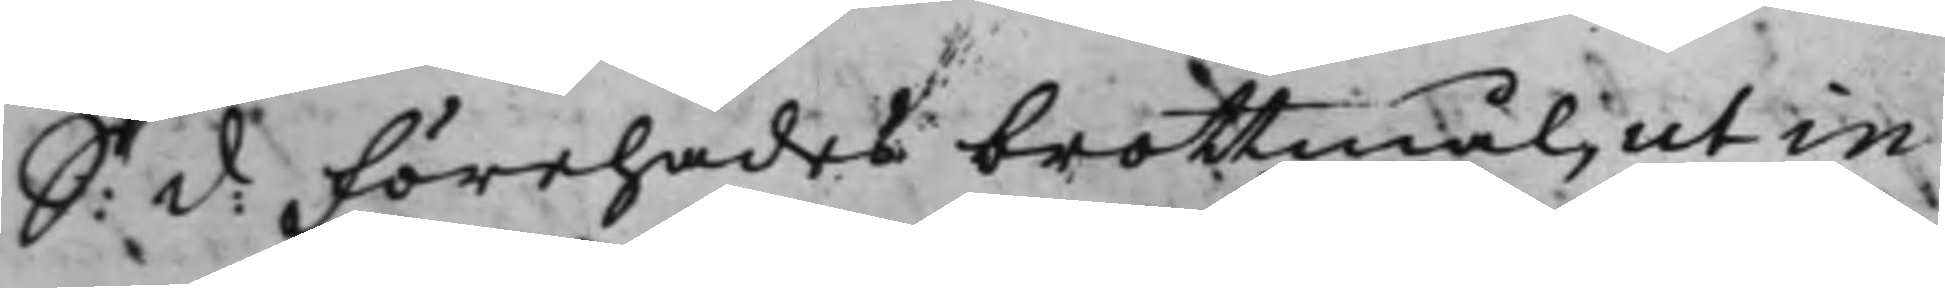S: d: Förehades brottmål, ut in
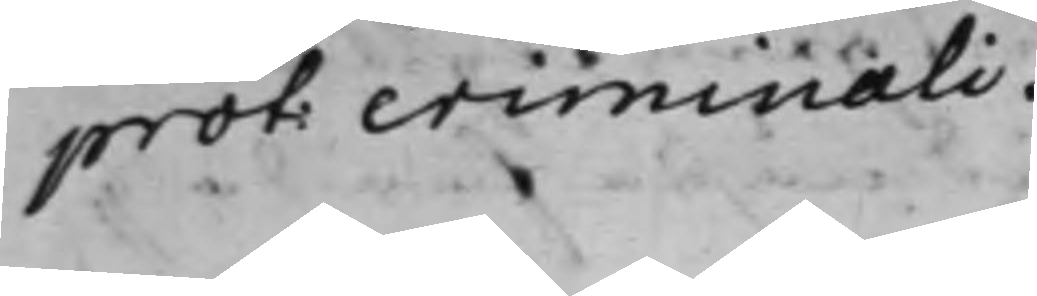prot: criminali.
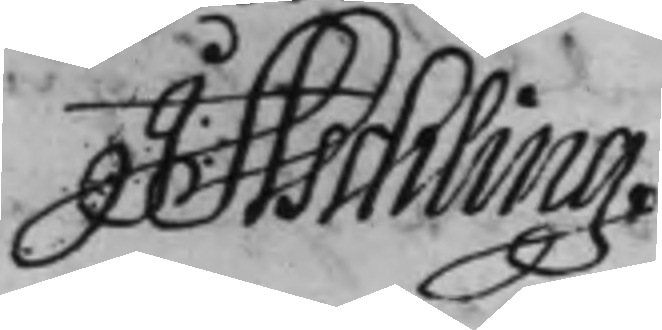J: Aschling
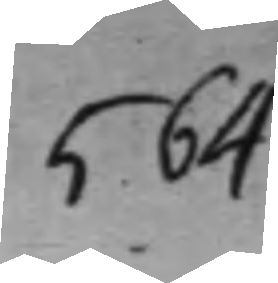564
